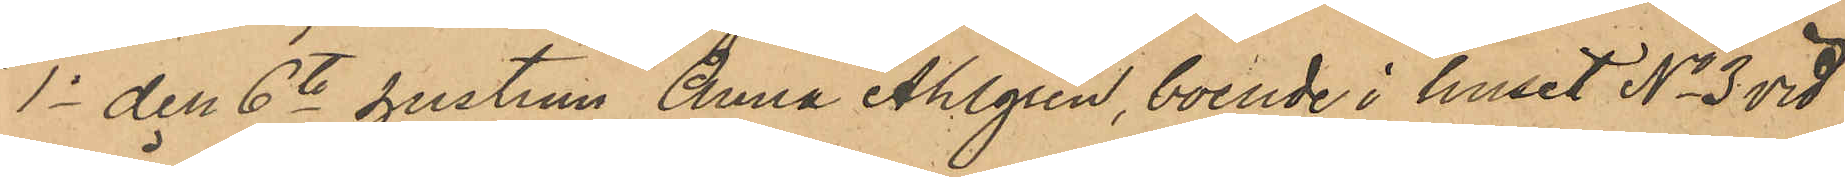1o den 6te hustrun Anna Ahlgren, boende i huset No 3 vid
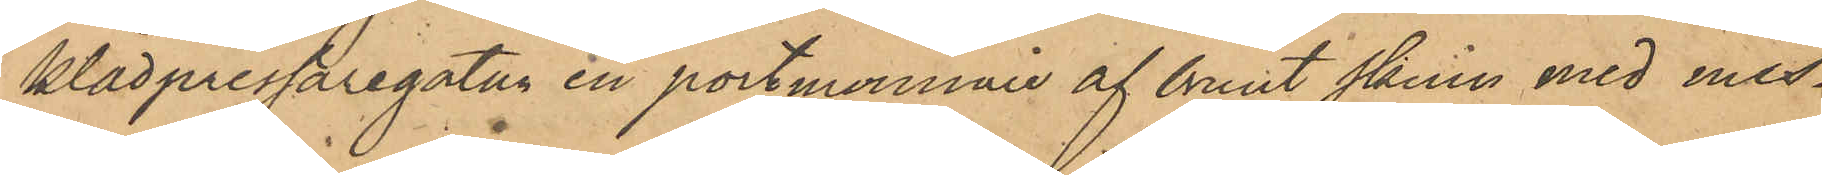Klädpressaregatan en portmonnaie af brunt skinn med mes¬
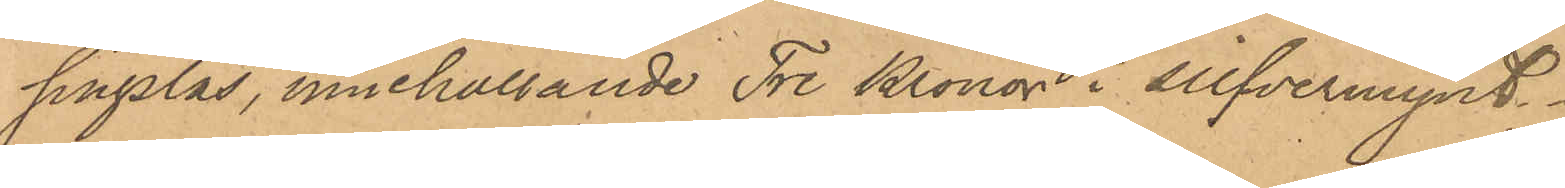singslås, innehållande Tre Kronor i silfvermynt.
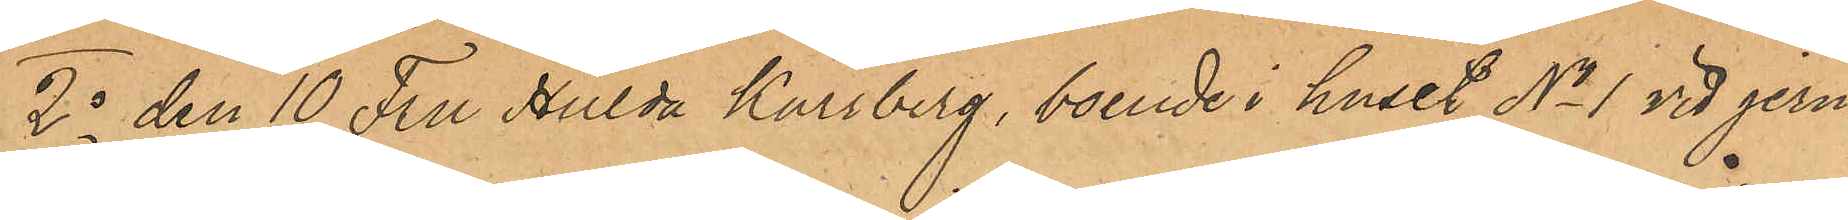2o den 10 Fru Hulda Kärrberg, boende i huset No 1 vid jern¬
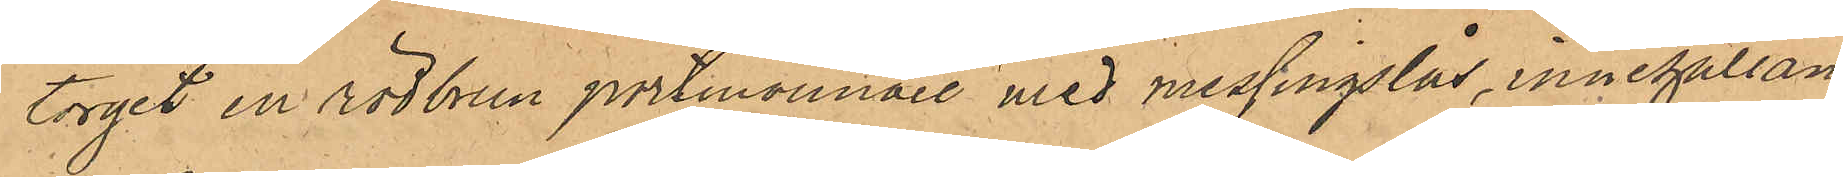torget en rödbrun portmonnaie med messingslås, innehållan¬
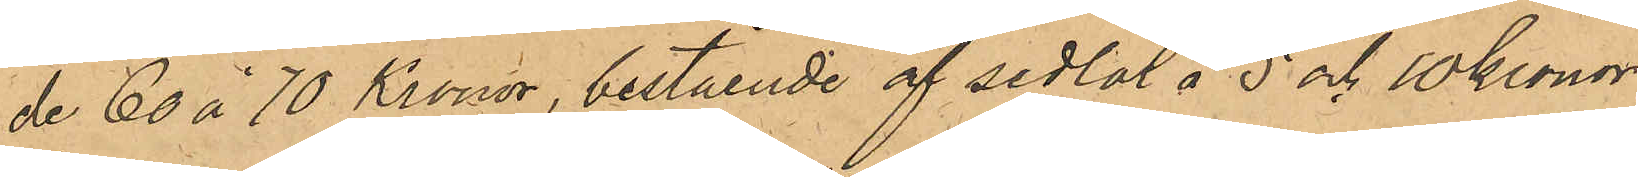de 60 á 70 Kronor, bestående af sedlar å 5 och 10 kronor;
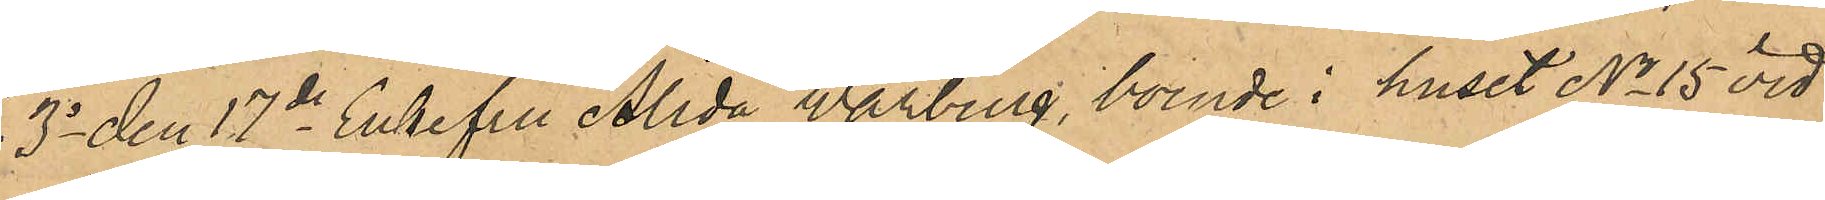3o den 17de Enkefru Alida Warburg, boende i huset No 15 vid
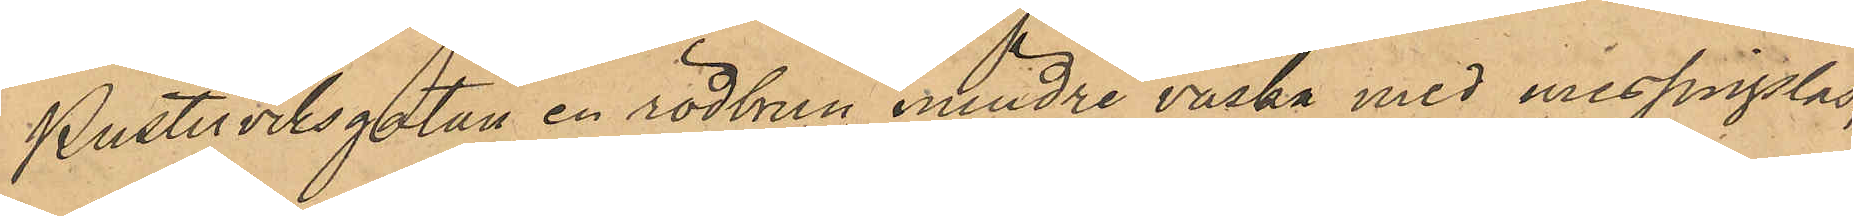Pusterviksgatan en rödbrun mindre väska med messingslås,
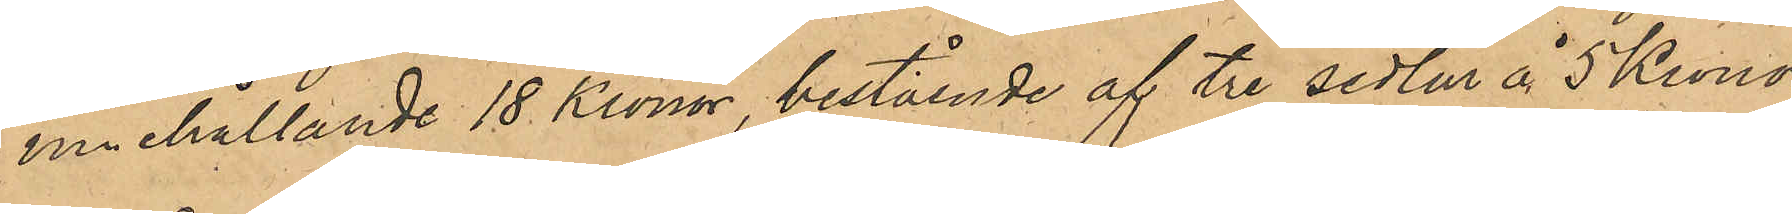innehållande 18 kronor, bestående af tre sedlar å 5 Kronor
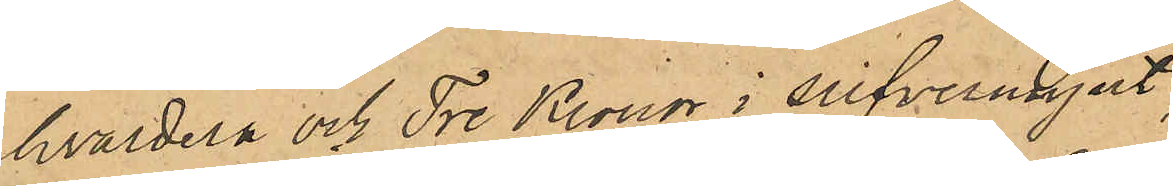hvardera och Tre Kronor i silfvermynt.
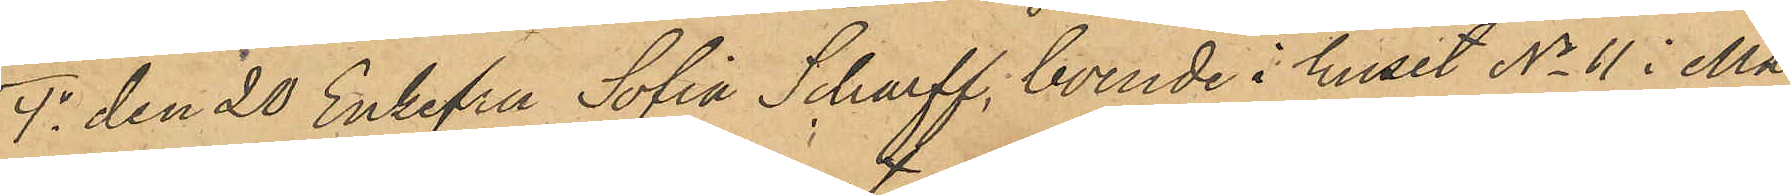4o den 20 Enkefru Sofia Scharff, boende i huset No 11 i Ma¬
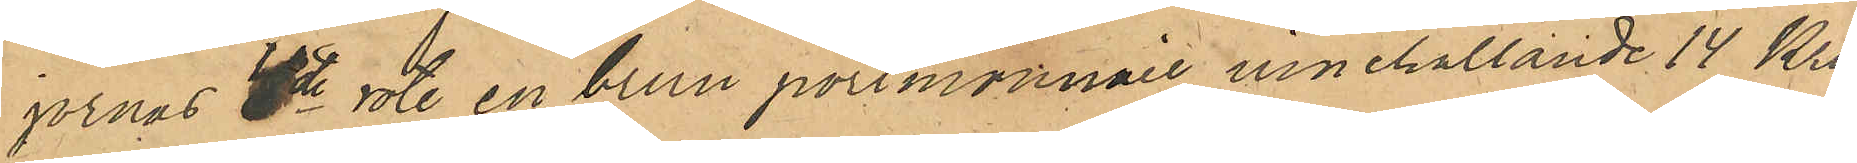jornas 4de rote, en brun portmonnaie, innehållande 14 Kro¬
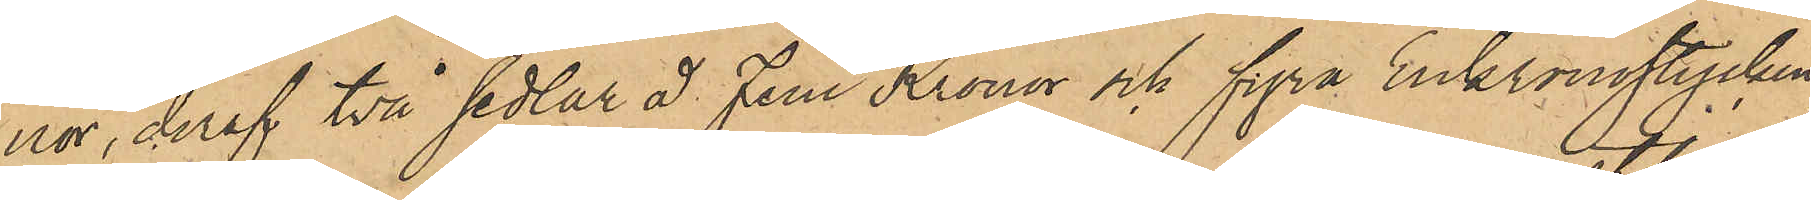nor, deraf två sedlar á fem Kronor och fyra Enkronostycken
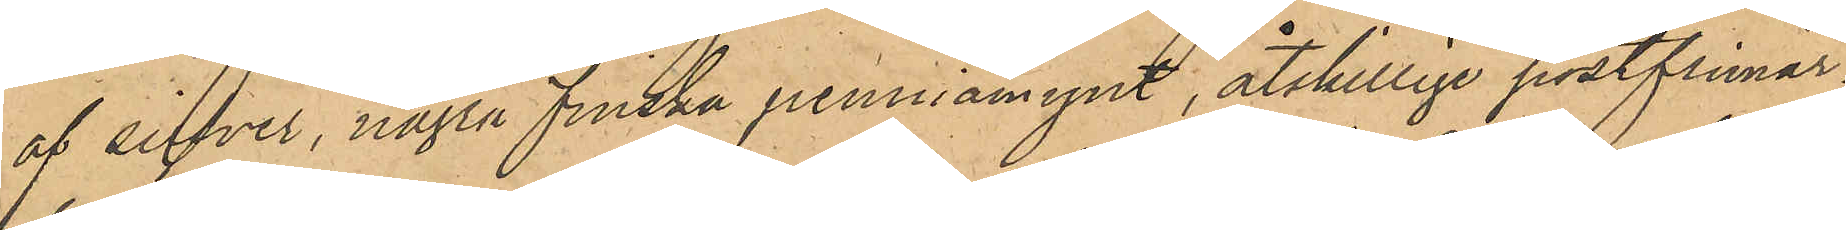af silfver, några finska penniämynt, åtskillige postfrimär¬
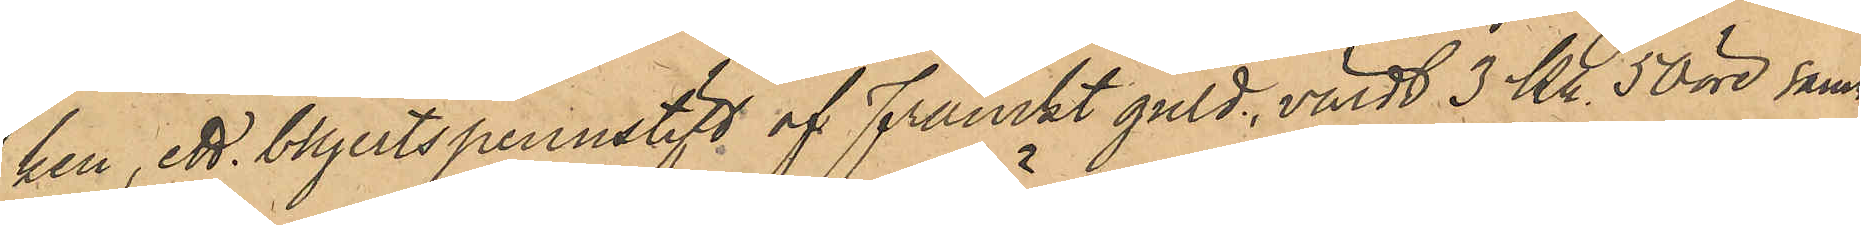ken ett blyertspennstift af Franckt guld, värdt 3 kr 50 öre samt
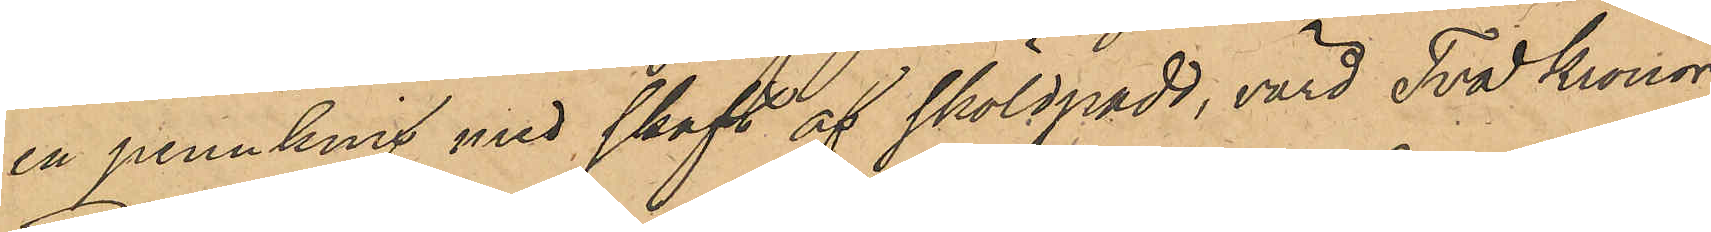en pennknif med skaft af sköldpadd, värd Två kronor;
